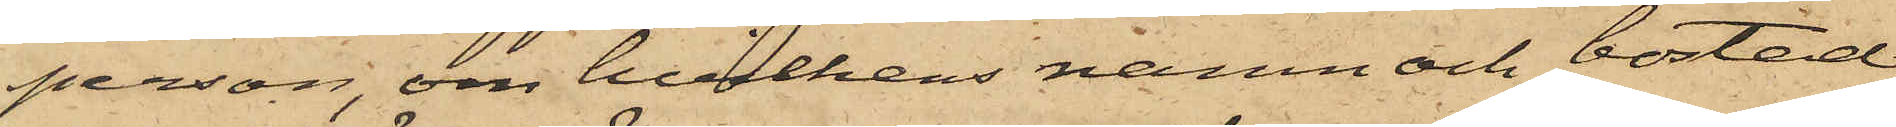person, om hvilkens namn och bostad
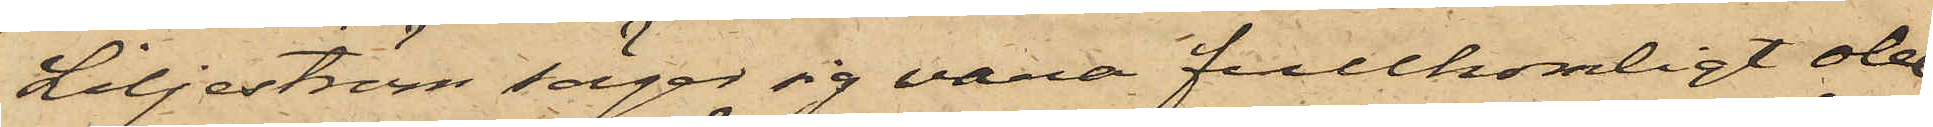Liljeström säger sig vara fullkomligt obe¬
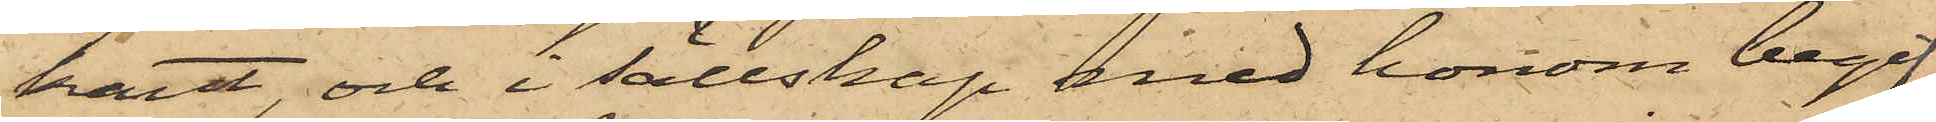kant, och i sällskap med honom begif¬
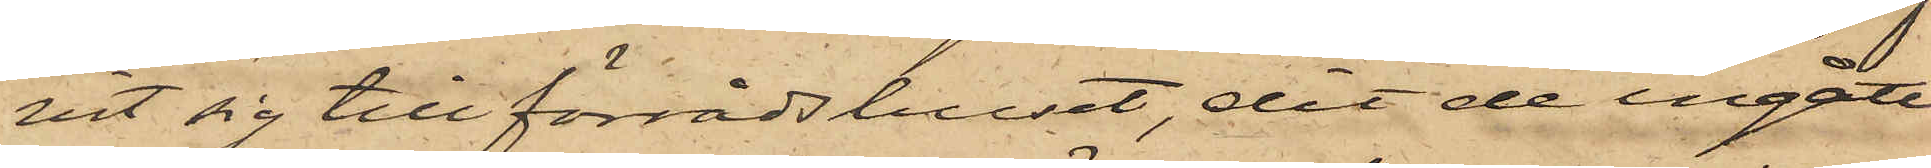vit sig till förrådshuset, dit de ingått
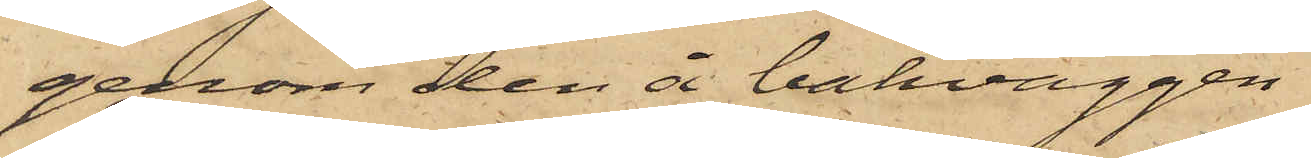genom den å bakväggen
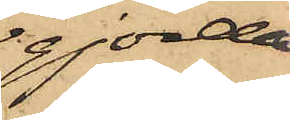gjorda
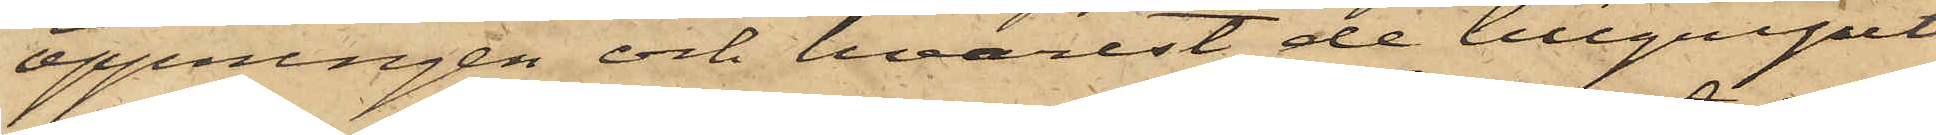öppningen och hvarest de tillgripit
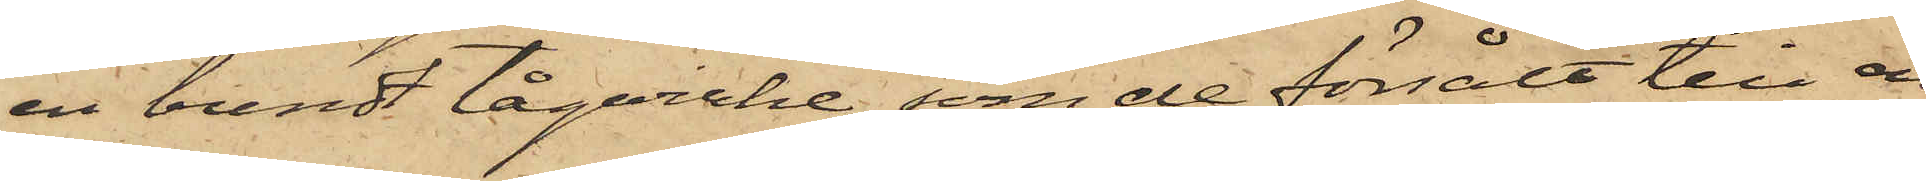en bundt tågvirke, som de försålt till en
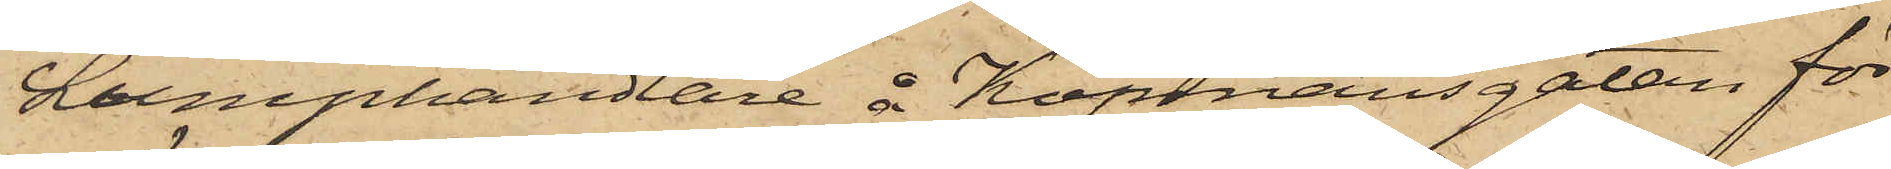Lumphandlare å Köpmansgatan för
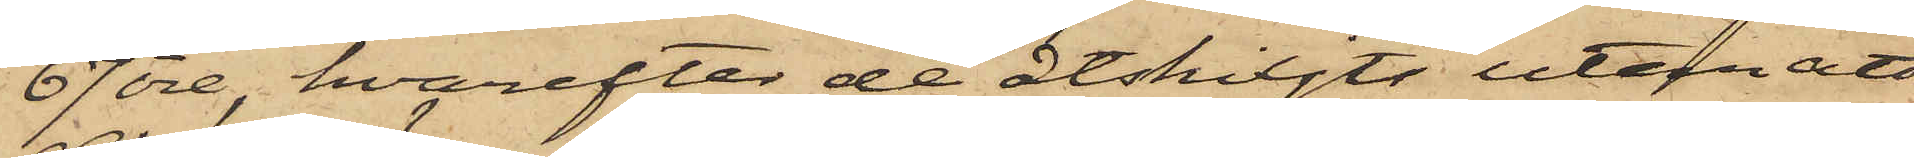67 öre, hvarefter de åtskiljts utan att
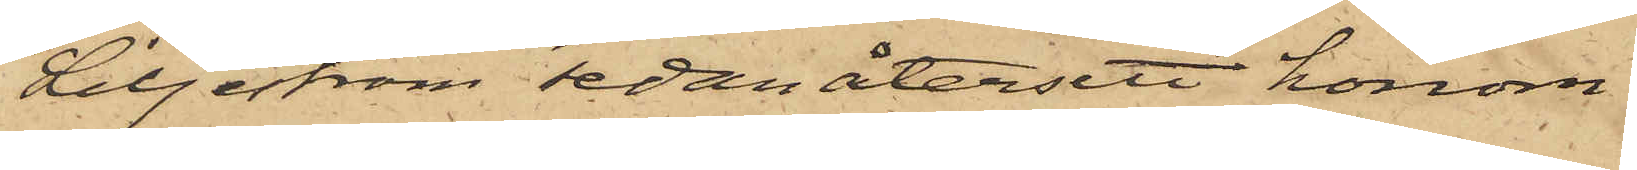Liljeström sedan återsett honom.
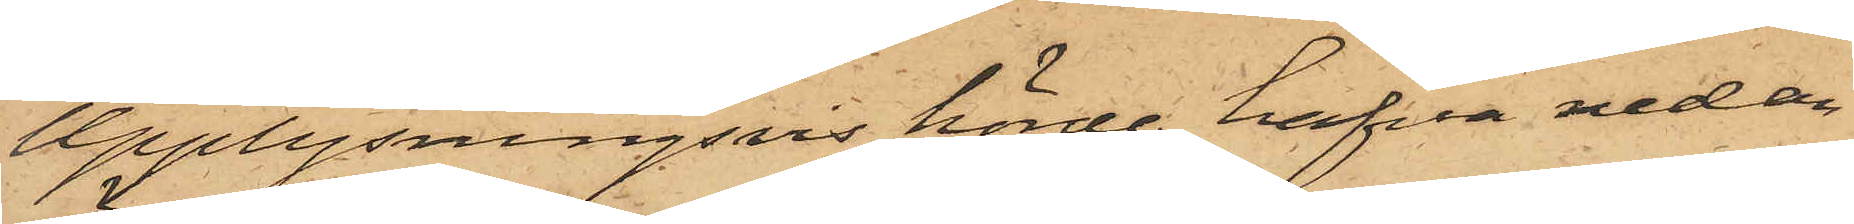Upplysningsvis hörde hafva nedan
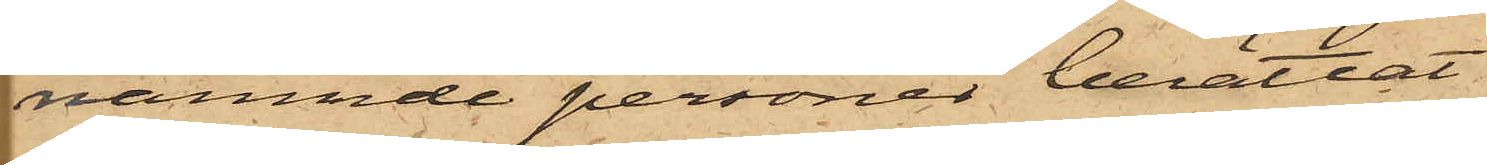nämnde personer berättat
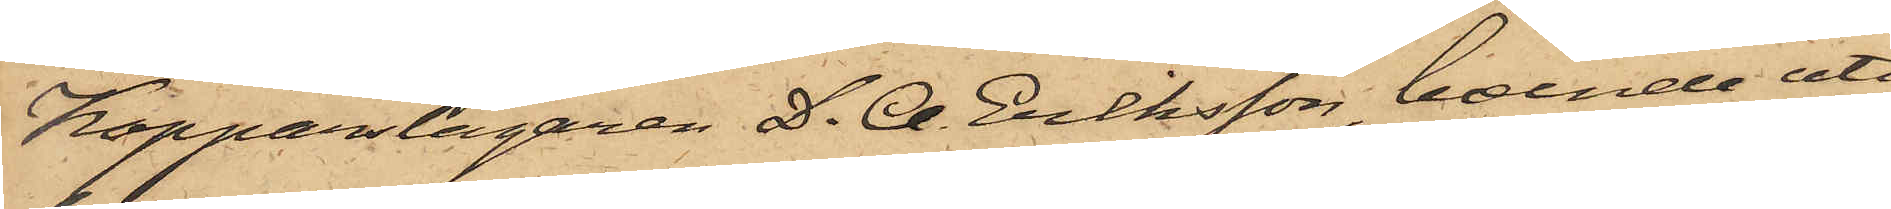Kopparslagaren D. A. Eriksson, boende uti
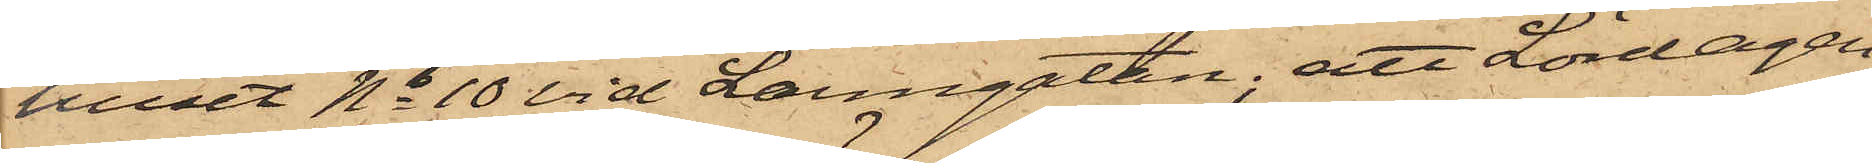huset No 10 vid Larmgatan; att Lördagen
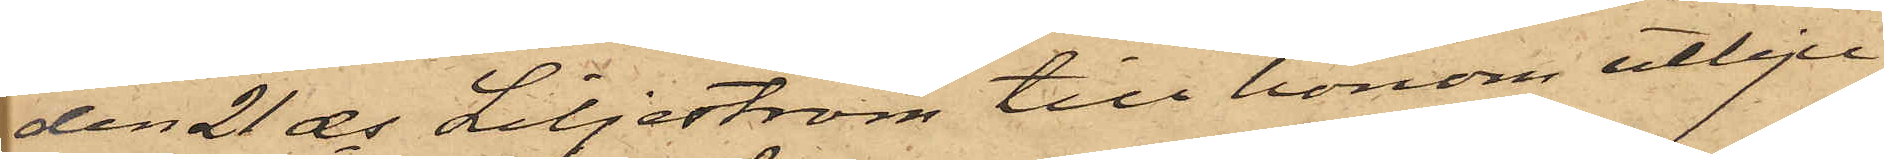den 21 ds Liljeström till honom utbju¬
